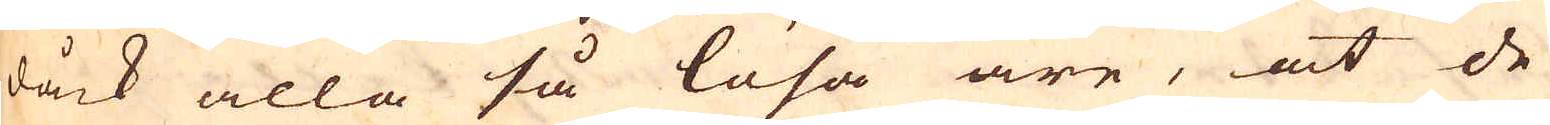dåck alla så lösa äre, at de
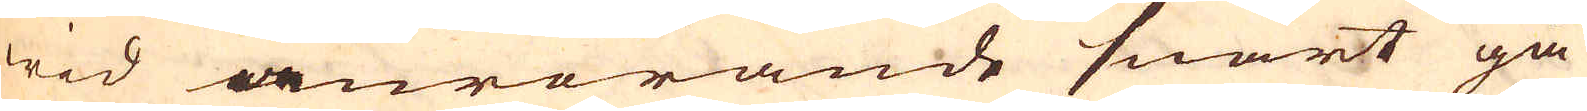wid anrörande snart gå
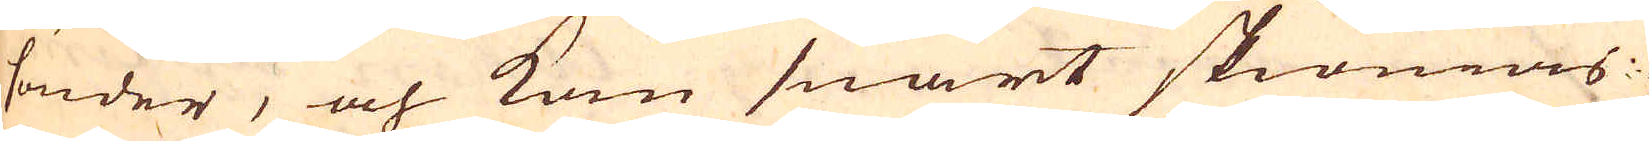sönder, och kom snart skiönias
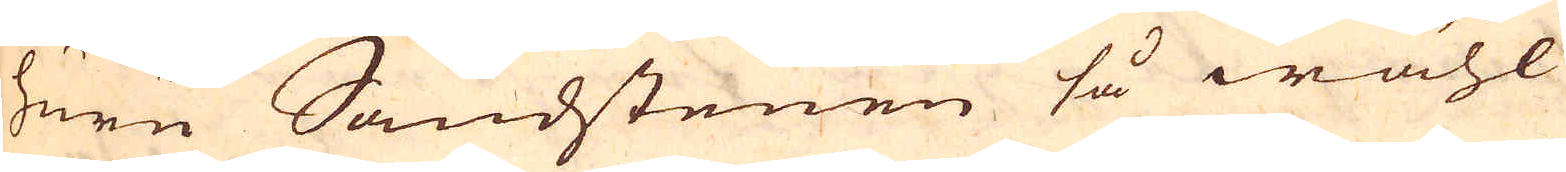huru Sandstenen så wähl
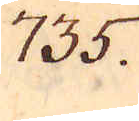735.
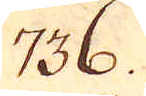736.
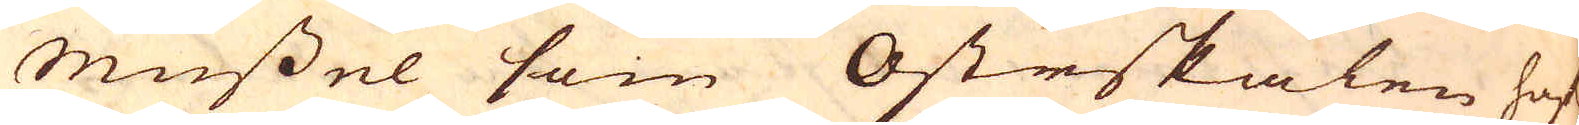Mussel som Ostrskalen haf-
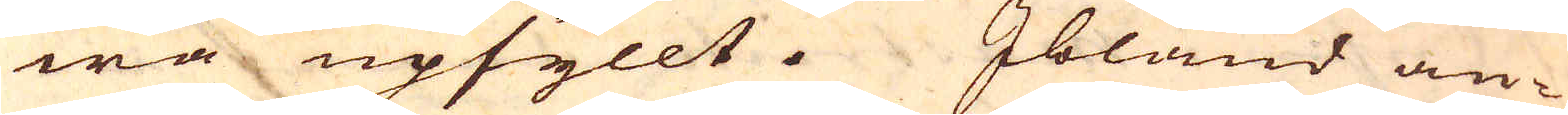wa upfyllt. Ibland an-
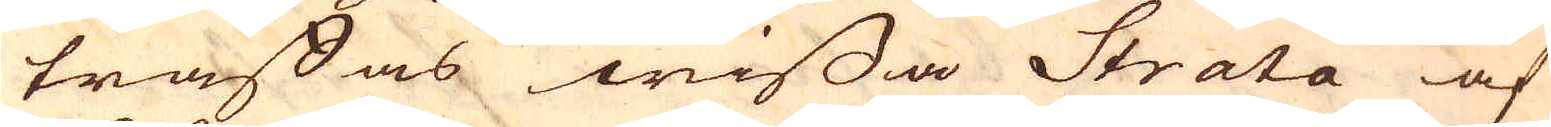träffas wissa Strata af
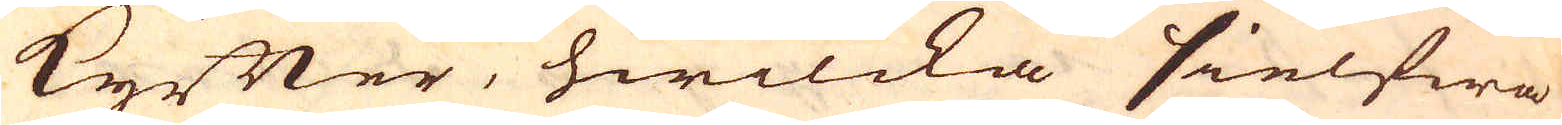kyfter, hwilcka sielfwa
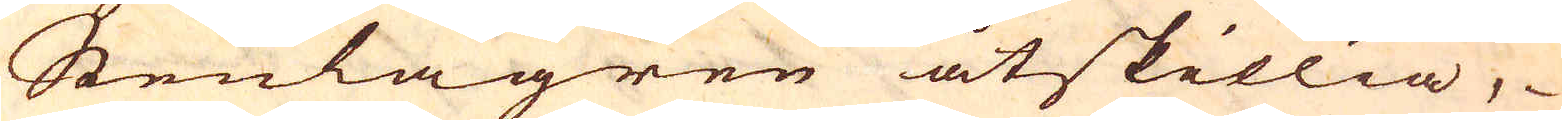Stenlagren åtskillia,
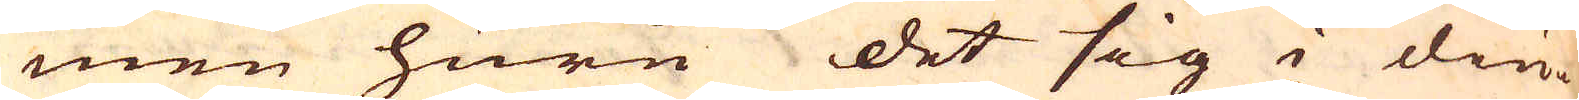men huru det sig i diu-
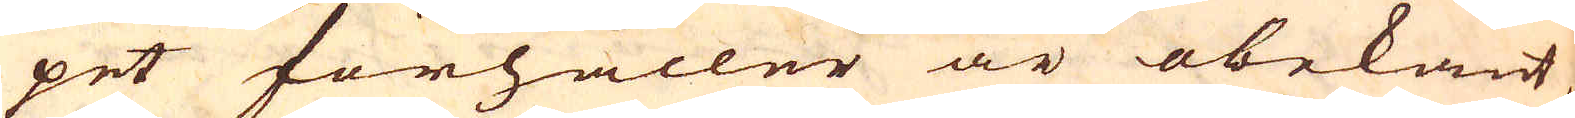pet förhåller är obekant
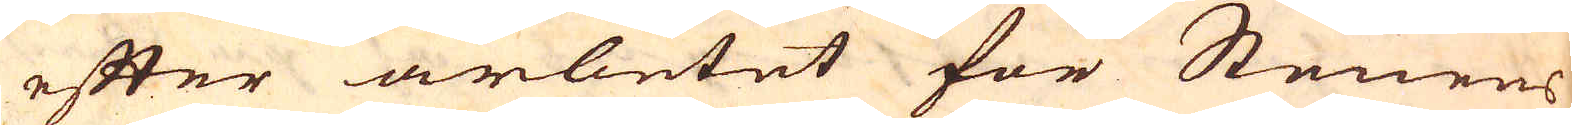efter arbetet för Stenens
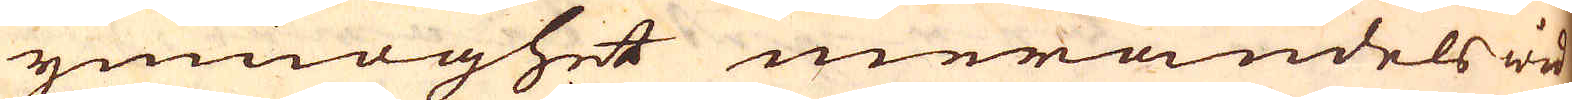ymnoghet merandels wid
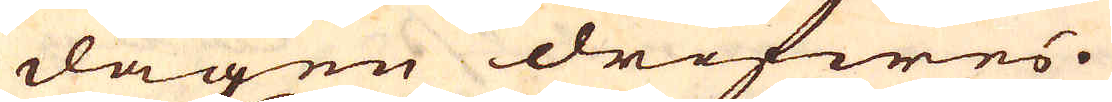dagen drifwes.
